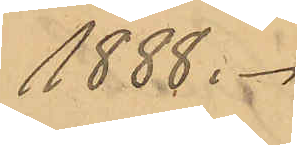1888.
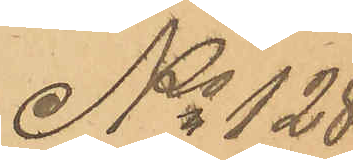No 128
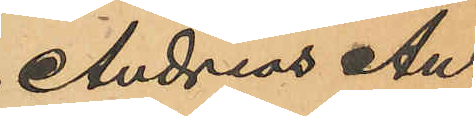Andreas An¬
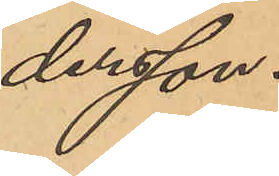dersson.
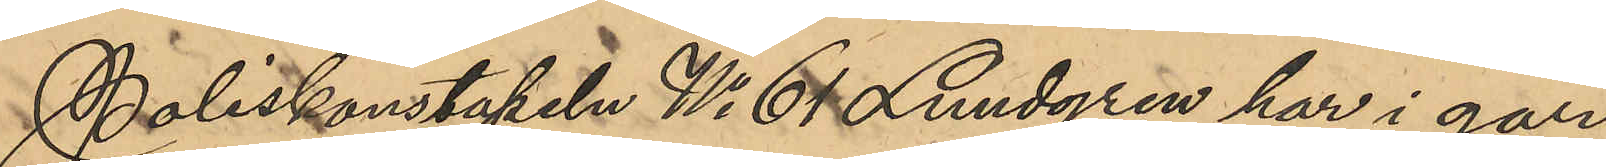Poliskonstapel No 61 Lundgren har i går
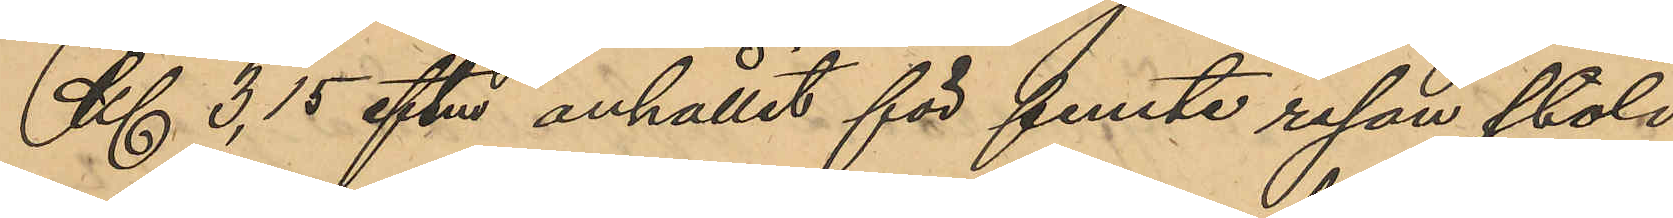Kl 3,15 eftm anhållit för femte resan stöld
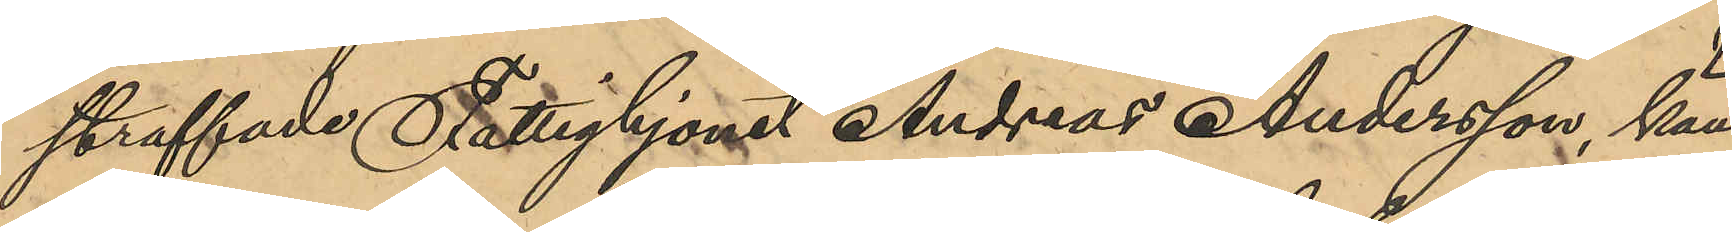straffade Fattighjonet Andreas Andersson, känd
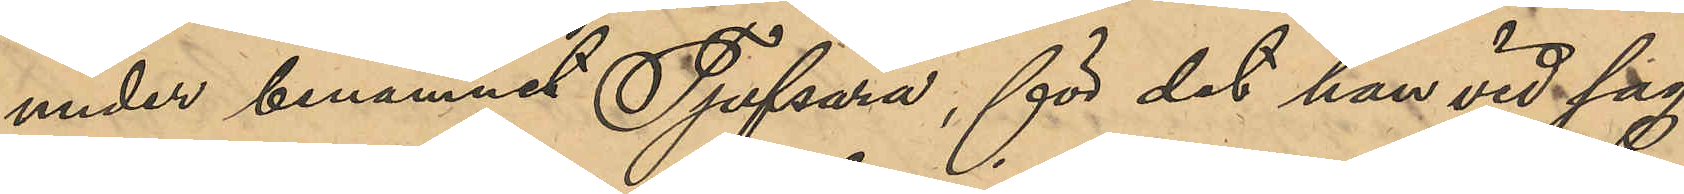under binamnet Tjufsara, för det han vid sag¬
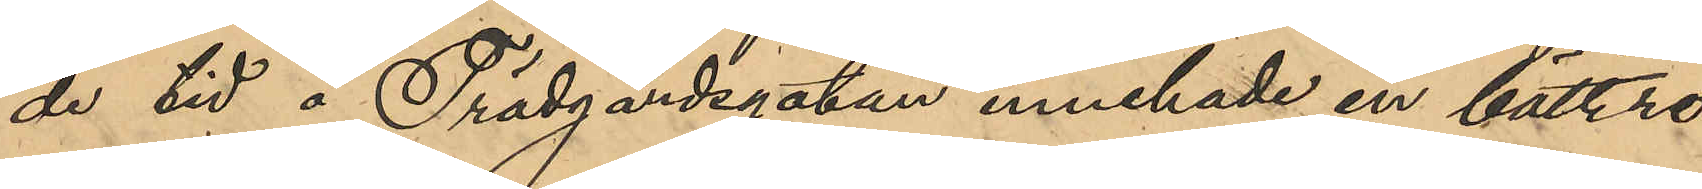de tid å Trädgardsgatan innehade en bättre
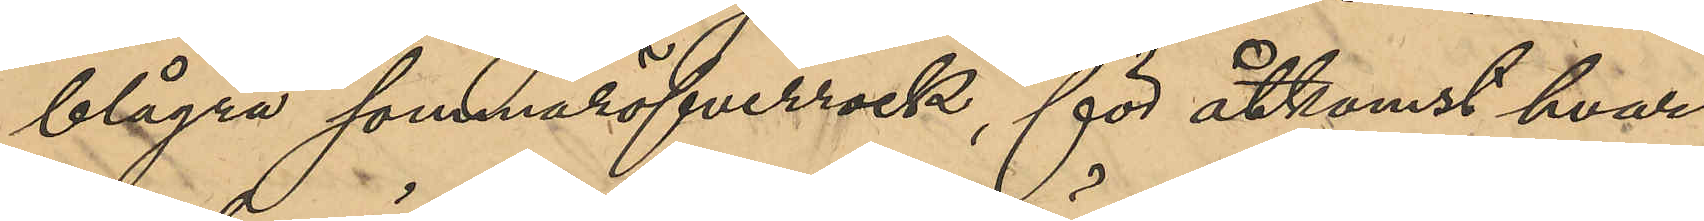blågrå sommaröfverrock, för åtkomst hvar¬
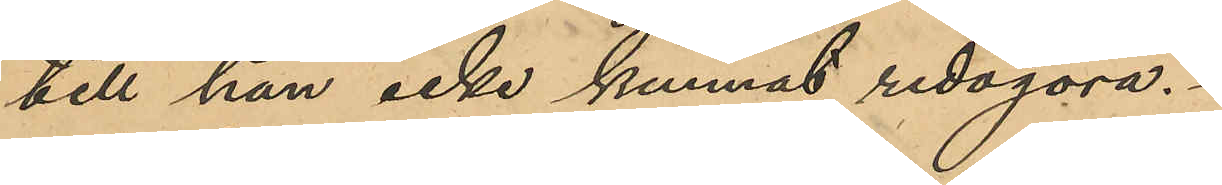till han icke kunnat redogöra.
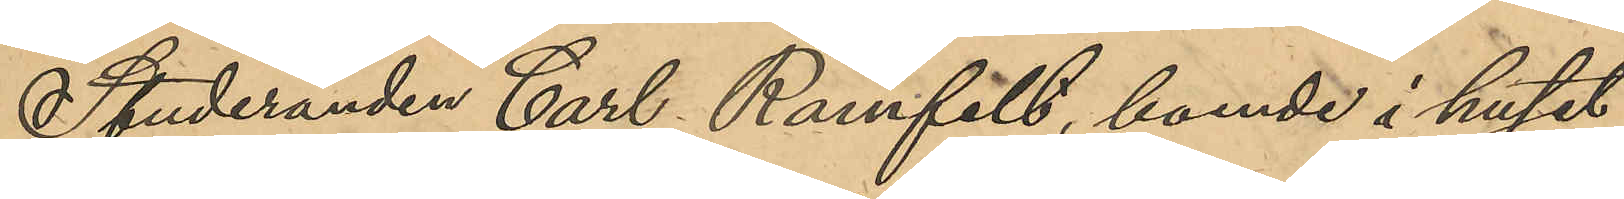Studerande Carl Ramfält, boende i huset
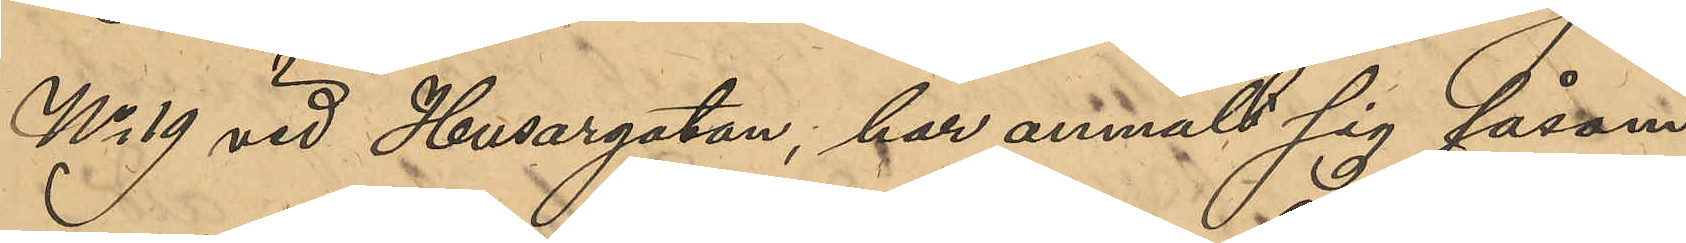No 19 vid Husargatan, har anmält sig såsom
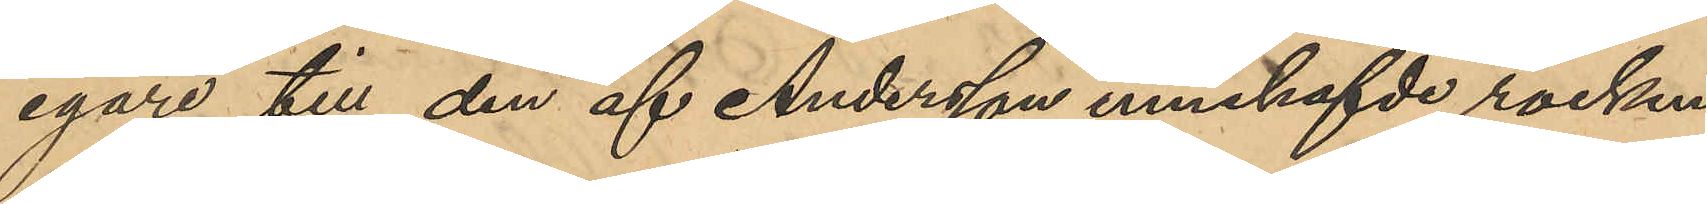egare till den af Andersson innehafde rocken,
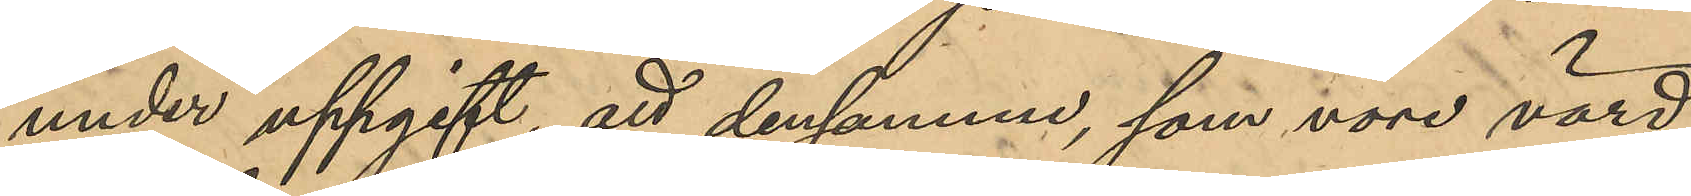under uppgift, att densamme, som vore värd
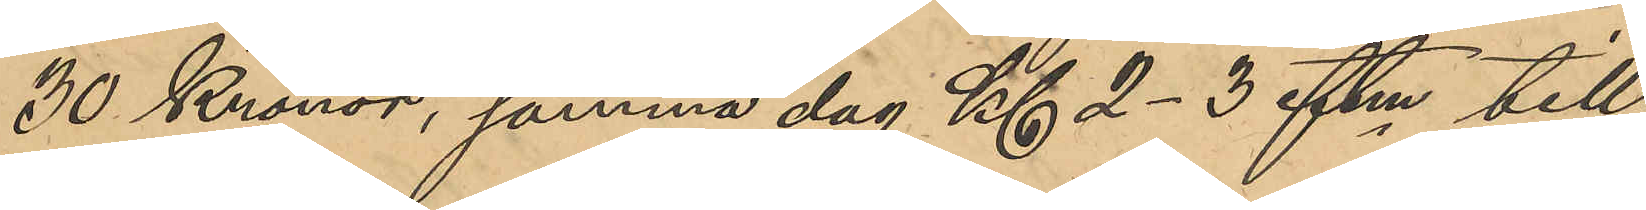30 Kronor, samma dag Kl 2-3 eftm till¬
